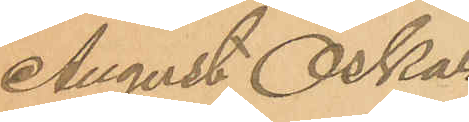August Oskar
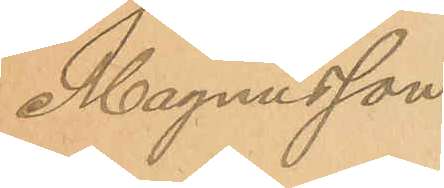Magnusson.
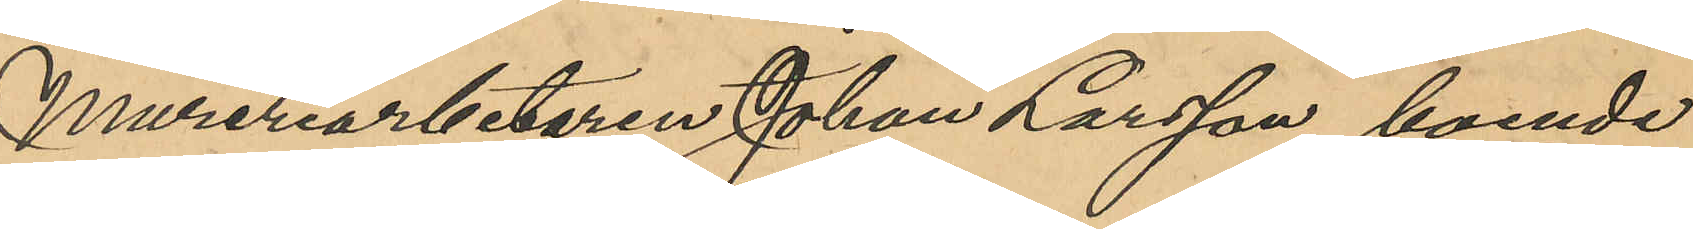Mureriarbetaren Johan Larsson, boende
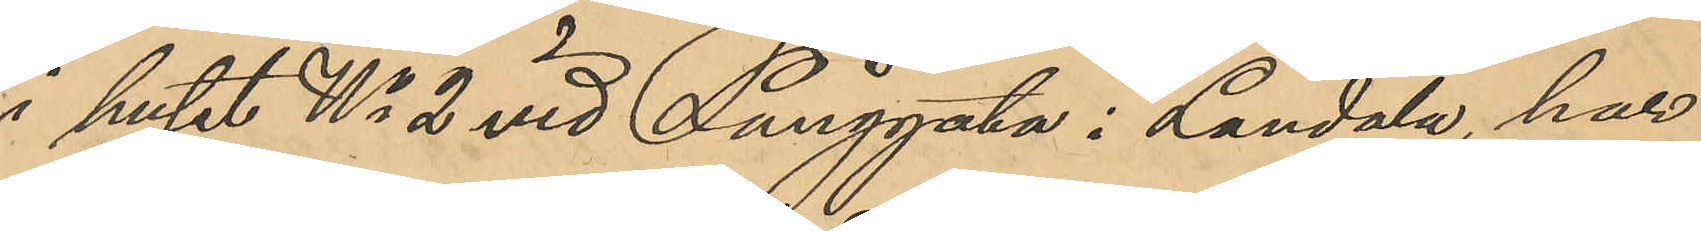i huset No 2 vid Långgata i Landala, har
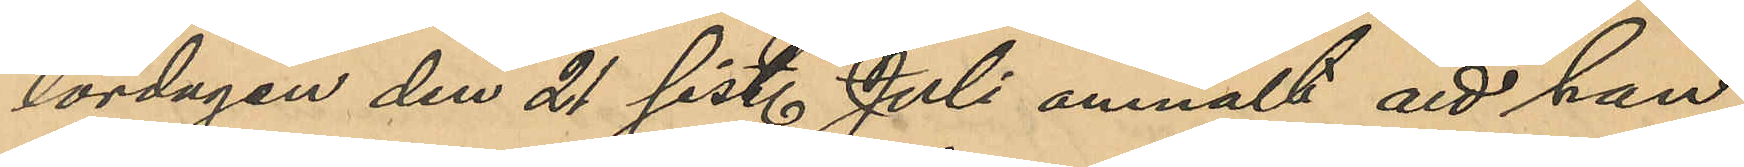lördagen den 21 sist. Juli anmält att han
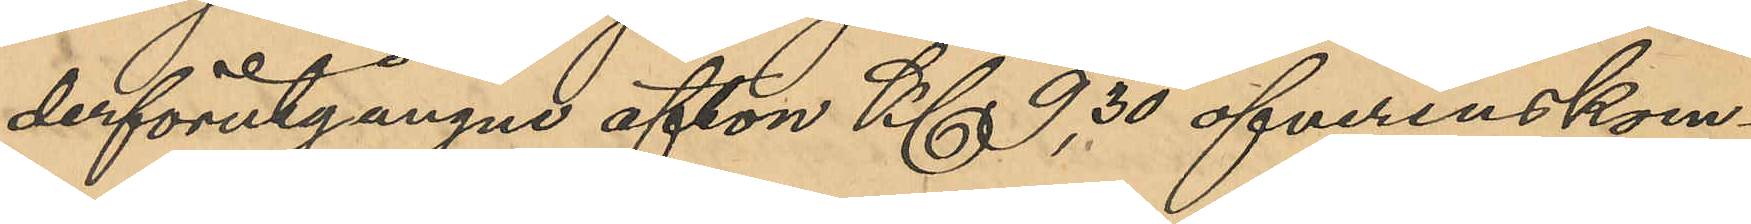derförutgångne afton Kl 9,30 öfverenskom¬
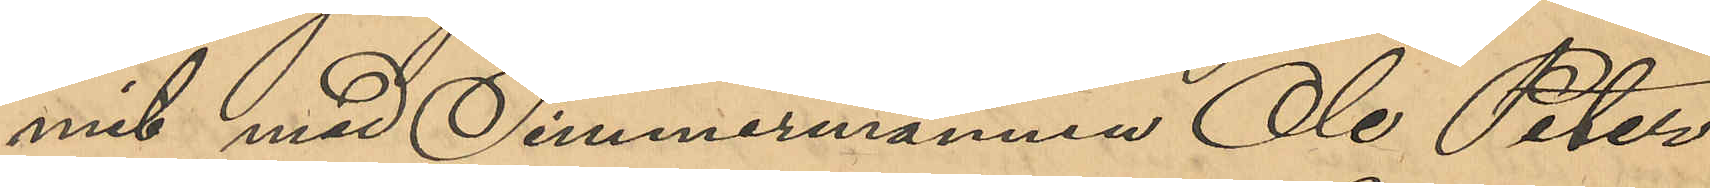mit med Timmermannen Ole Peter
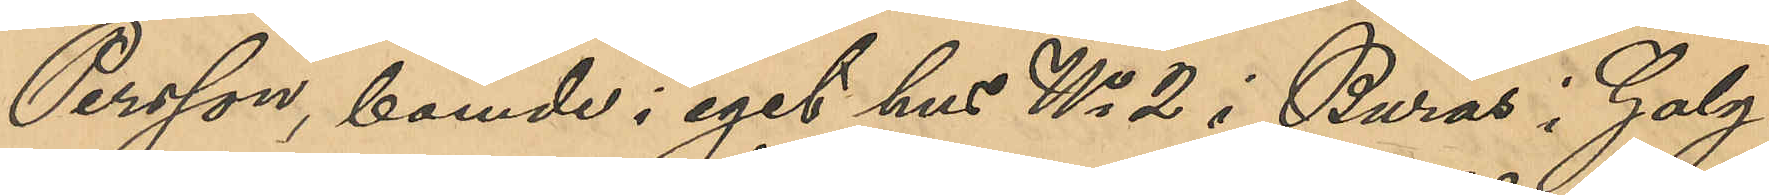Persson, boende i eget hus No 2 i Burås i Galg¬
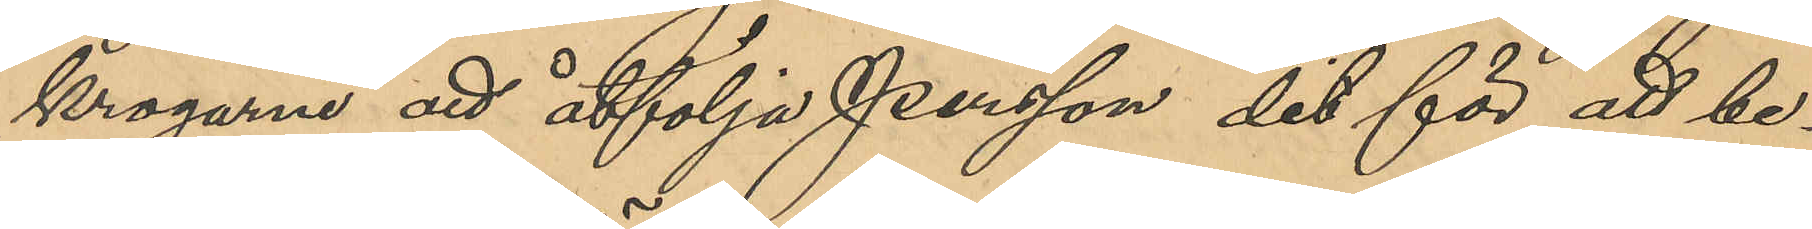krogarne att åtfölja Persson det för att be¬
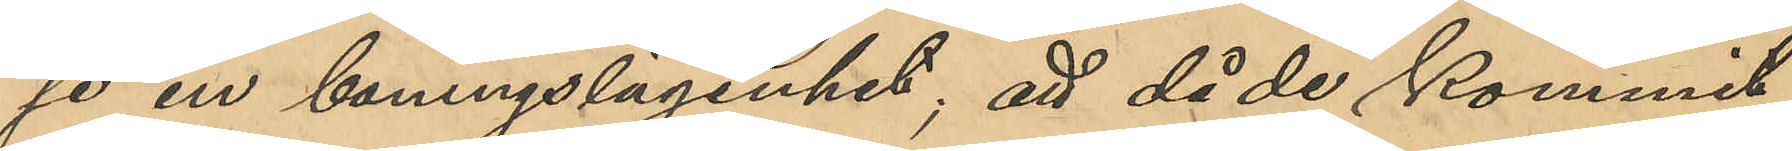se en boningslägenhet; att då de kommit
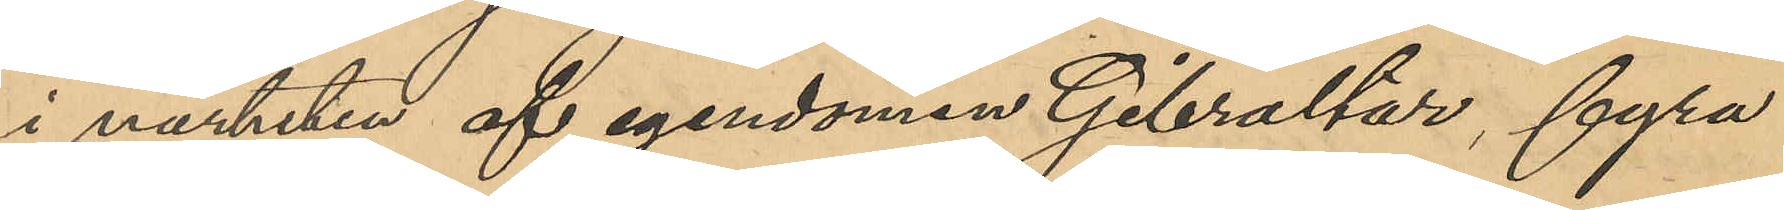i närheten af egendomen Gibraltar, fyra
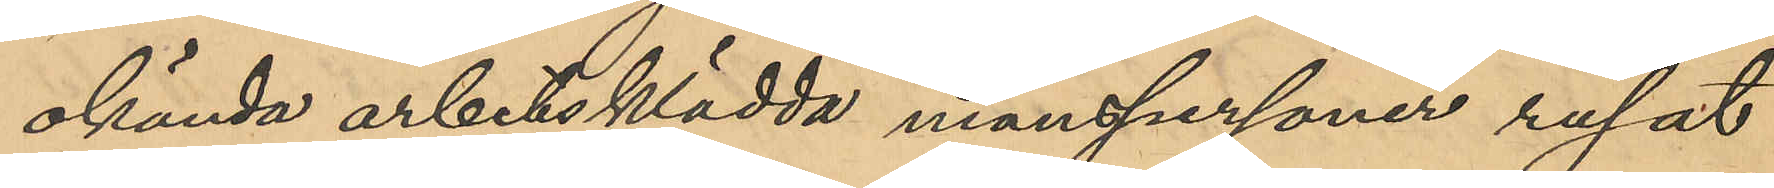okända arbetsklädda manspersoner rusat
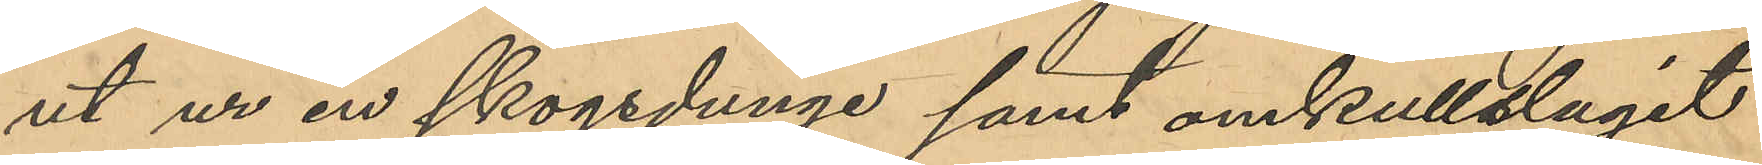ut ur en skogsdunge samt omkullslagit
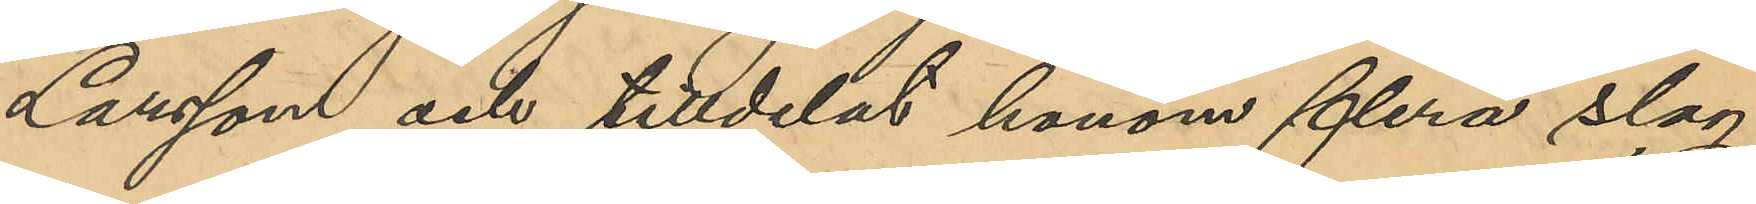Larsson och tilldelat honom fler slag
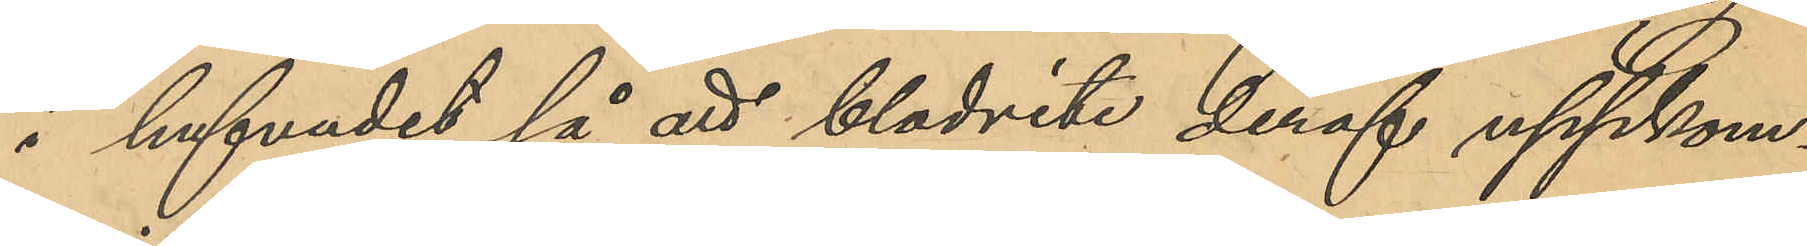i hufvudet så att blodvite deraf uppkom¬
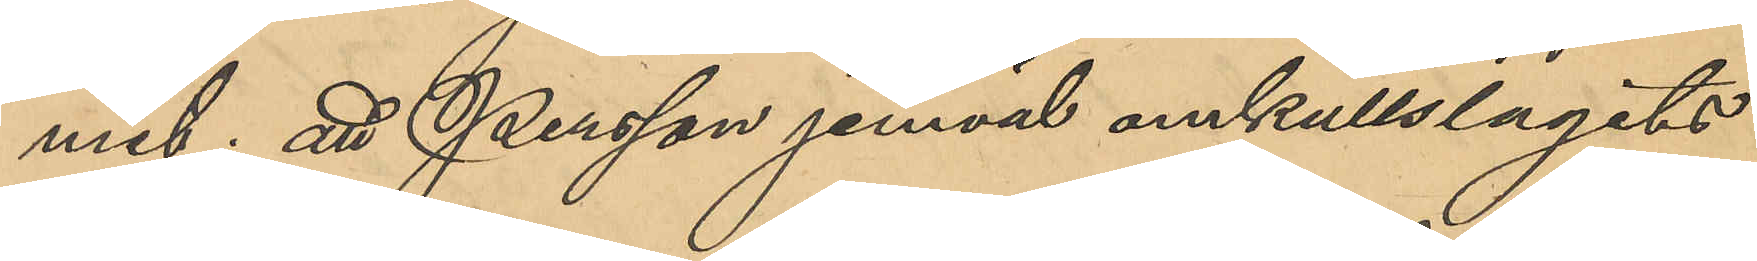mit; att Persson jemväl omkullslagits
